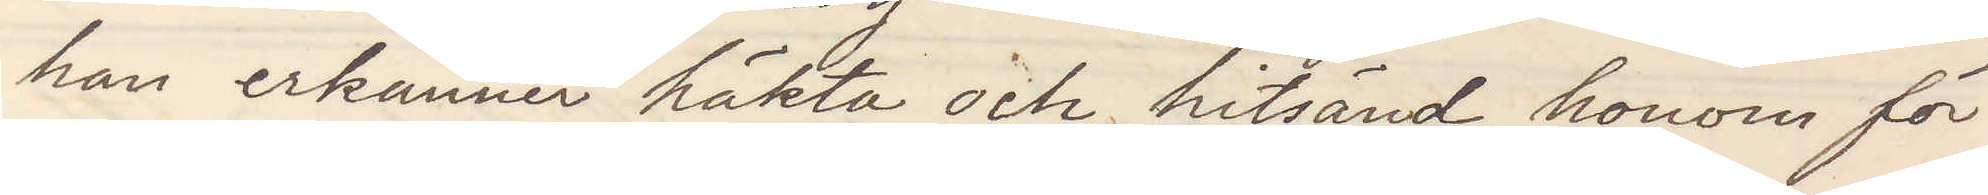han erkänner häkta och hitsänd honom för
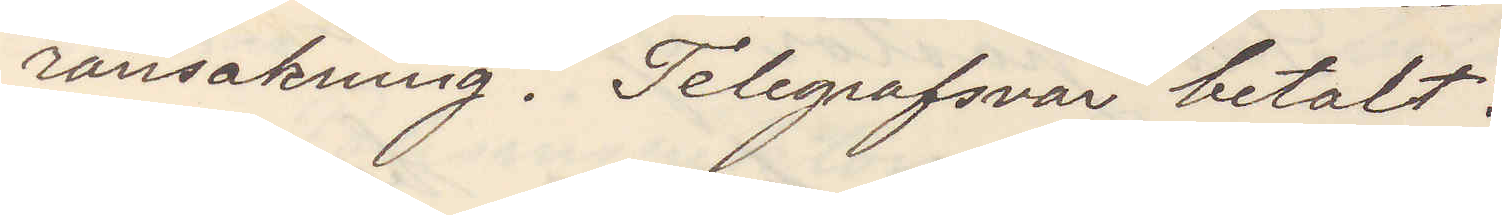ransakning. Telegrafsvar betalt.
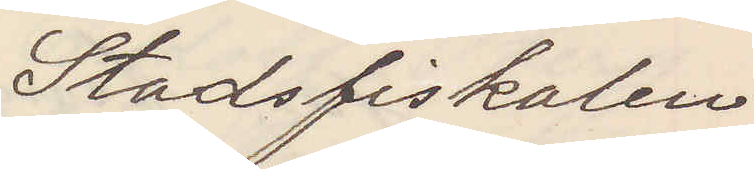Stadsfiskalen
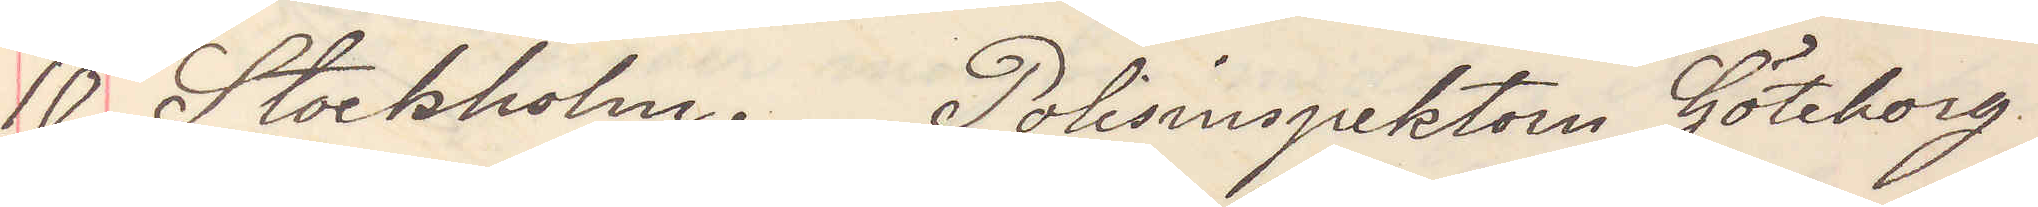10. Stockholm. Polisinspektorn Göteborg
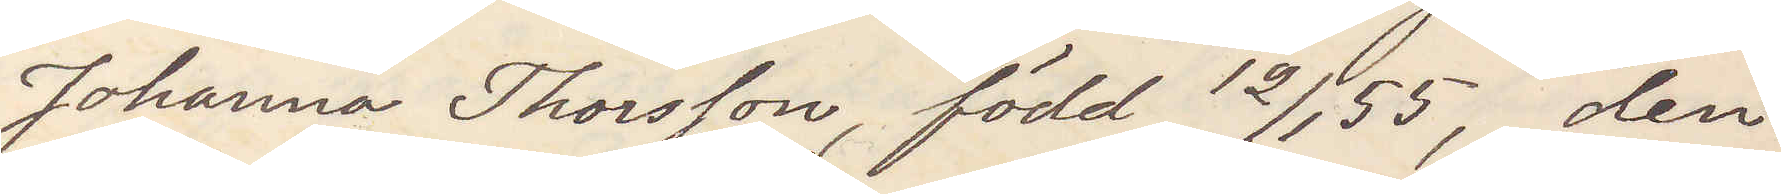Johanna Thorsson, född 12/1 55, den
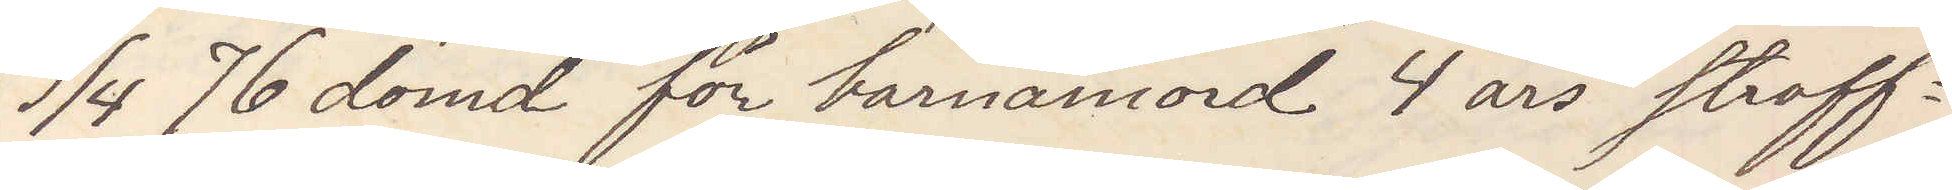19/4 76 dömd för barnamord 4 års straff¬
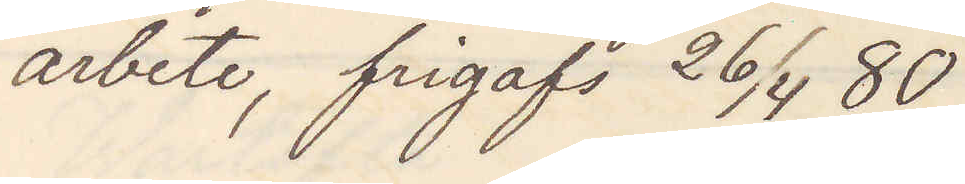arbete, frigafs 26/4 80
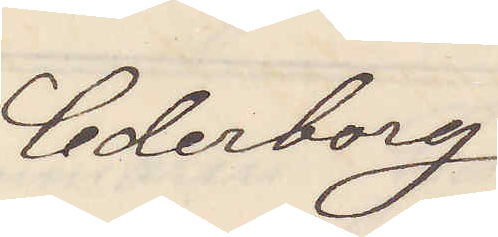Cederborg
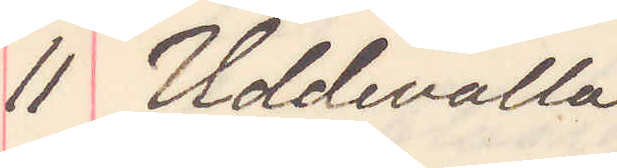11 Uddevalla
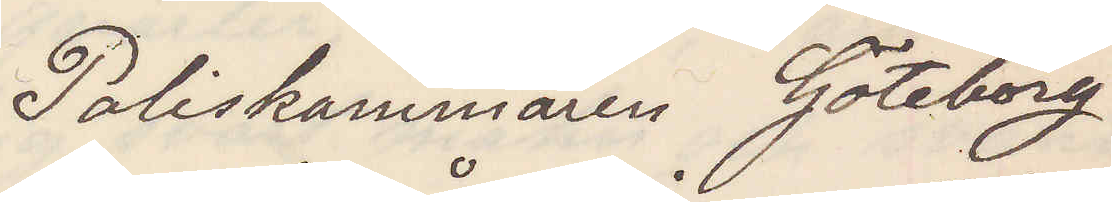Poliskammaren Göteborg
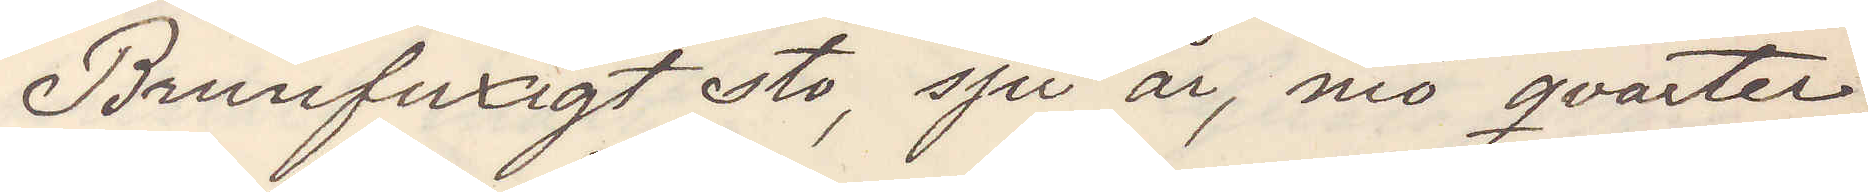Brunfuxigt sto, sju år, nio qvarter
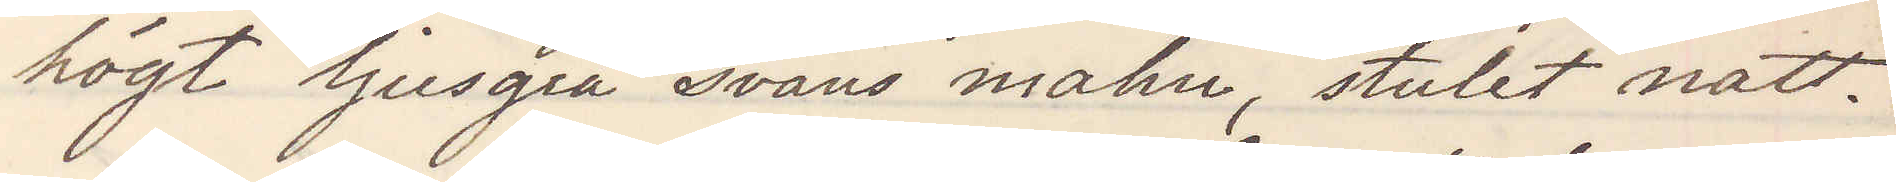högt ljusgrå svans mahn, stulet natt.
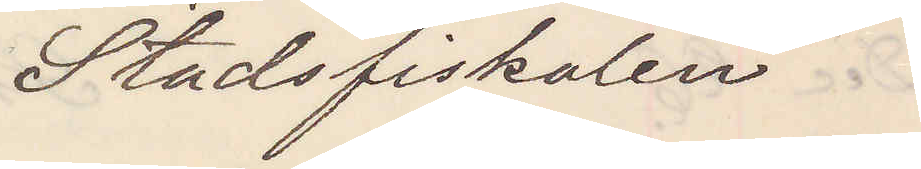Stadsfiskalen
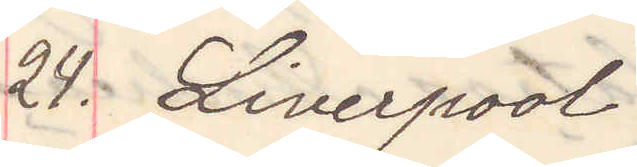24. Liverpool
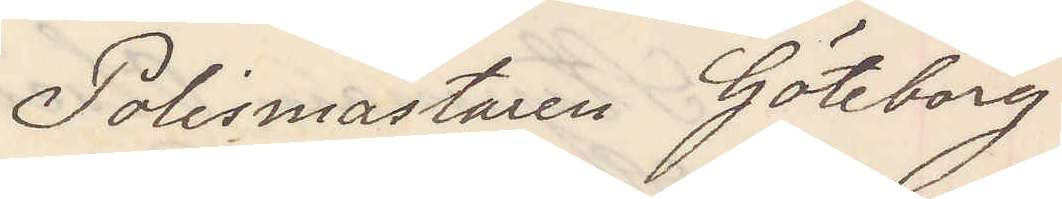Polismästaren Göteborg
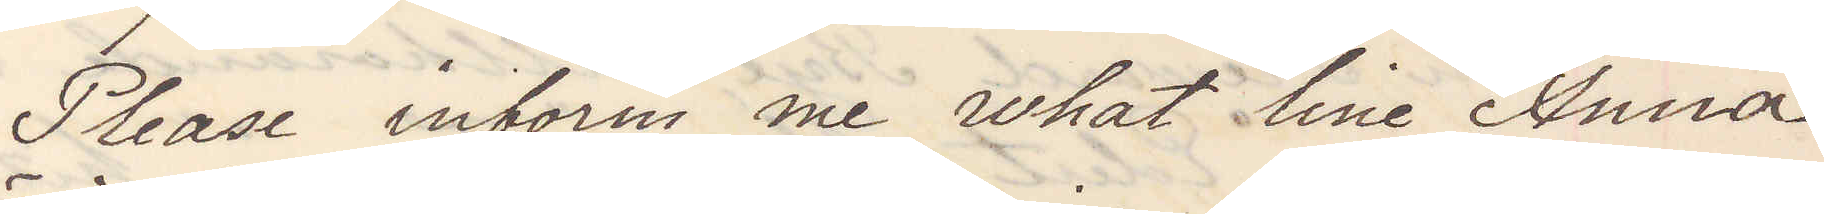Please inform med what line Anna
